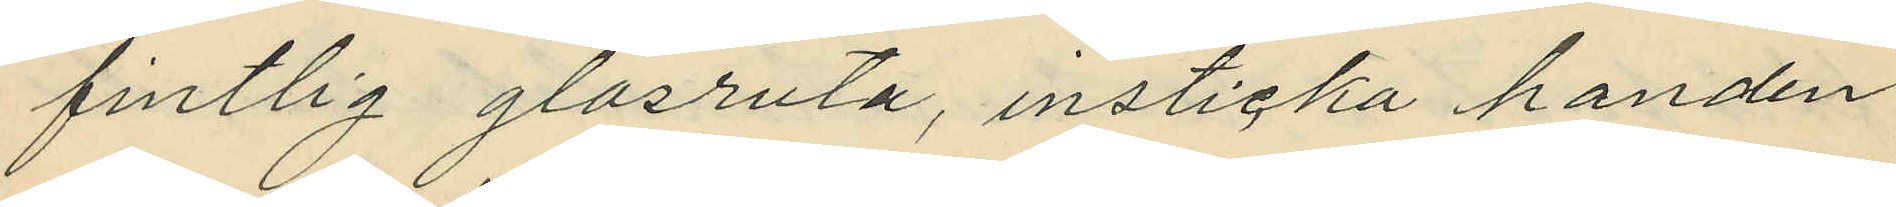fintlig glasruta, insticka handen
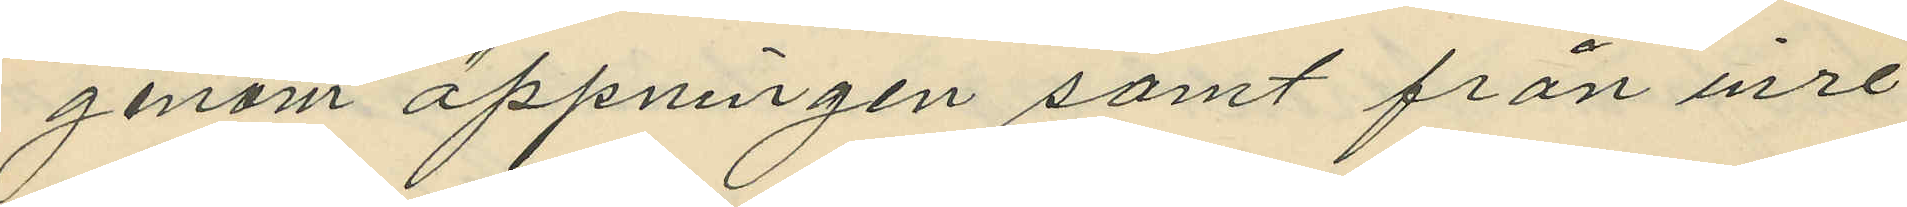genom öppningen samt från inre
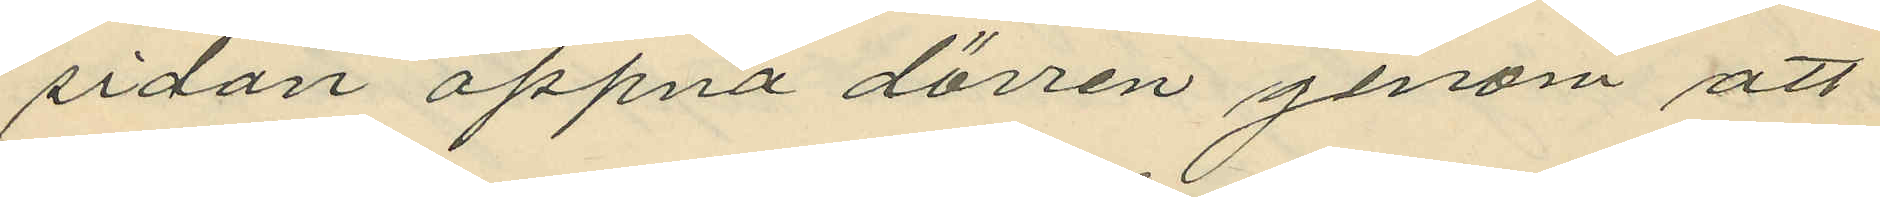sidan oppna dörren genom att
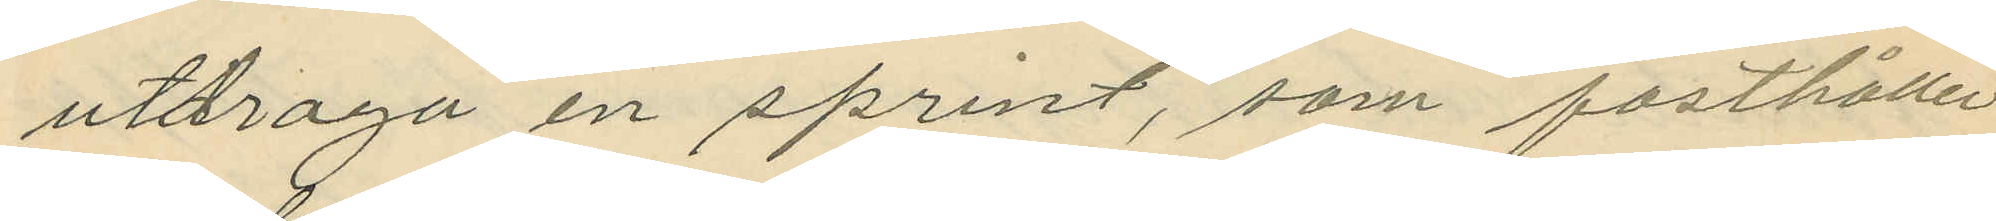utdraga en sprint, som fasthåller
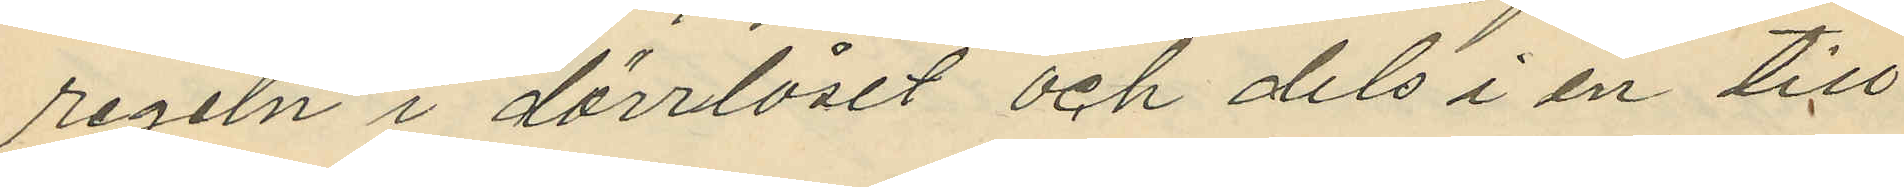regeln i dörrlåset och dels i en till
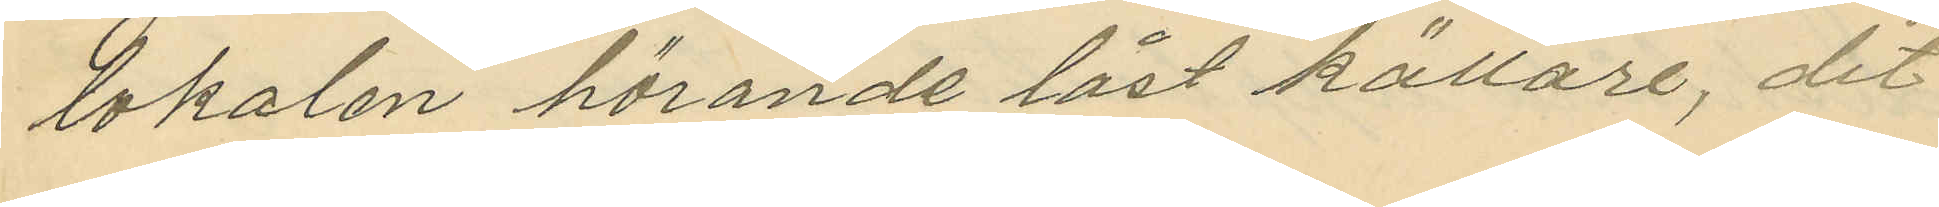lokalen hörande låst källare, dit
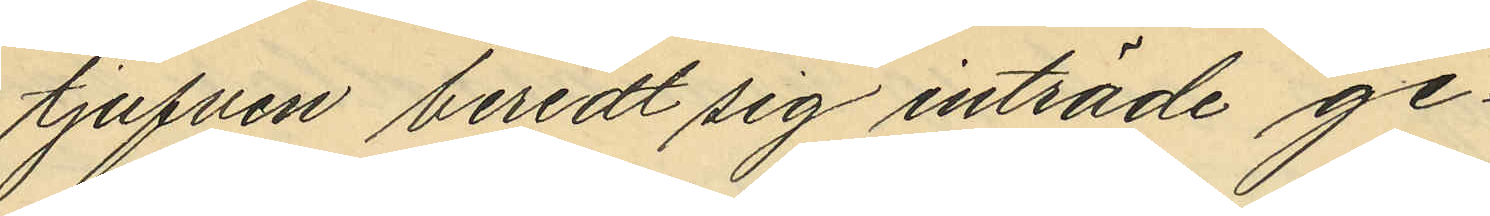tjuven beredt sig inträde ge¬
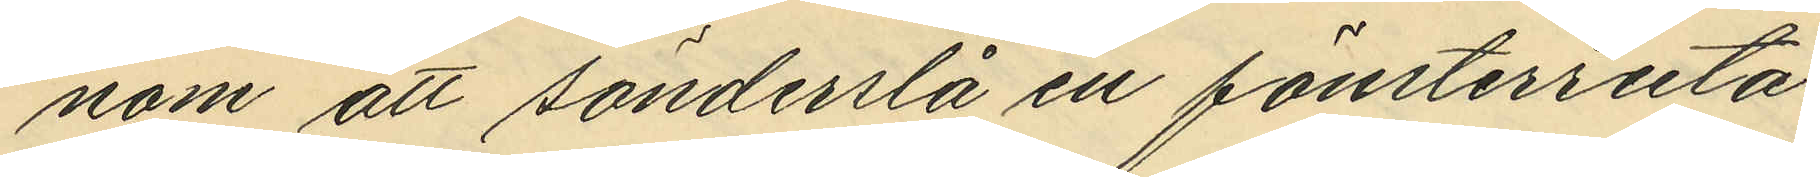nom att sönderslå en fönsterruta,
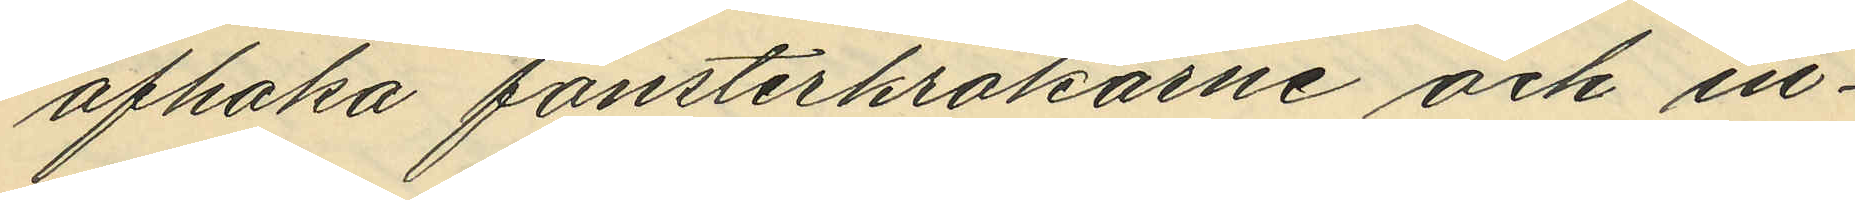afhaka fönsterkrokarne och in¬
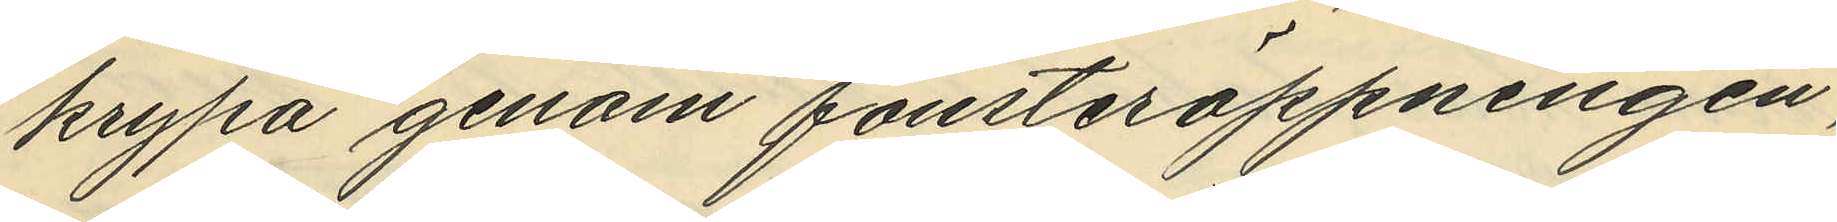krypa genom fönsteröppningen,
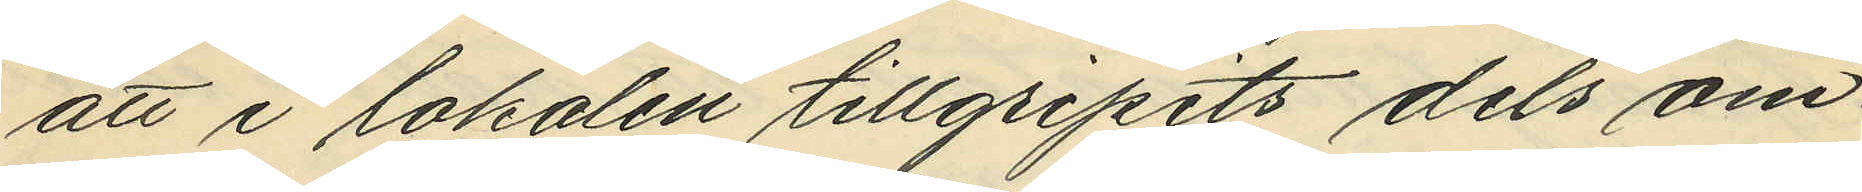att i lokalen tillgripits dels om¬
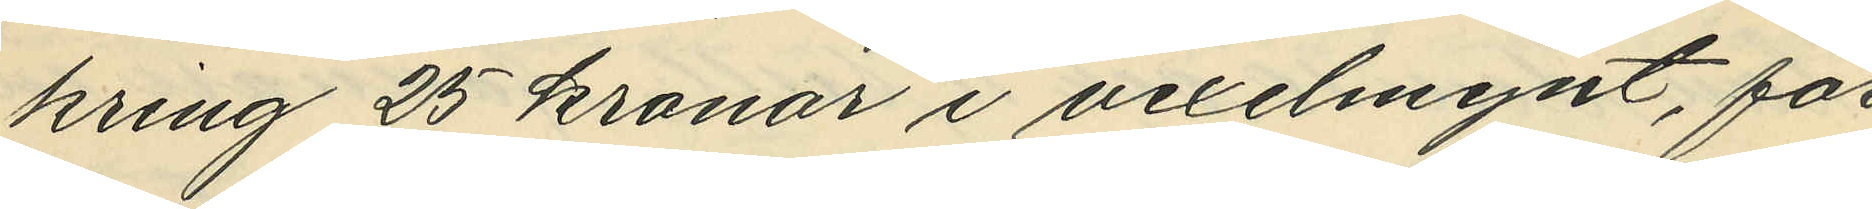kring 25 kronor i vexelmynt, för
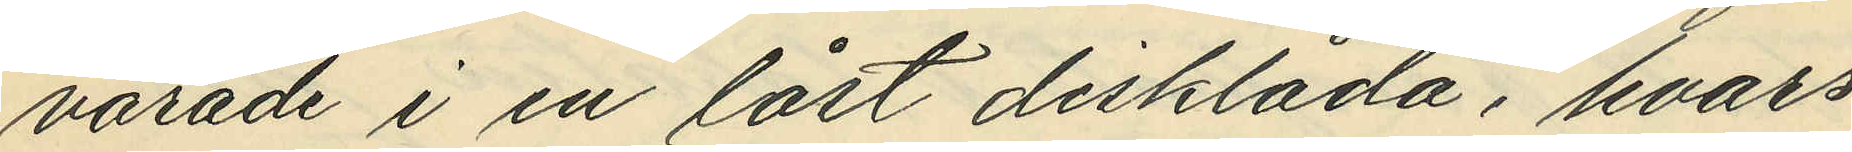varande i en låst disklåda, hvars
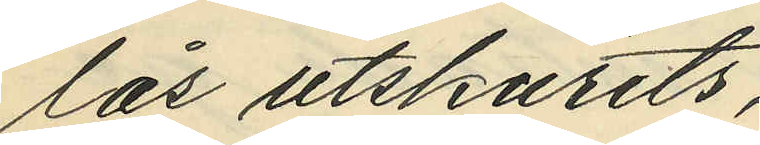lås utskurits,
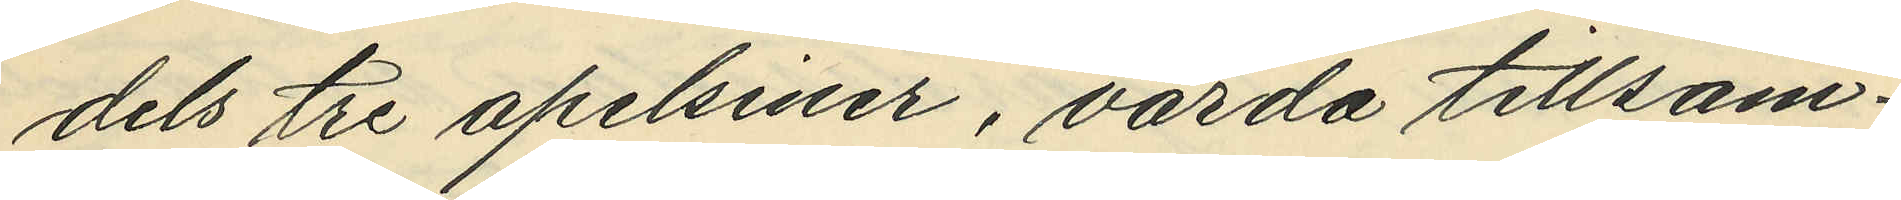dels tre apelsiner, värda tillsam¬
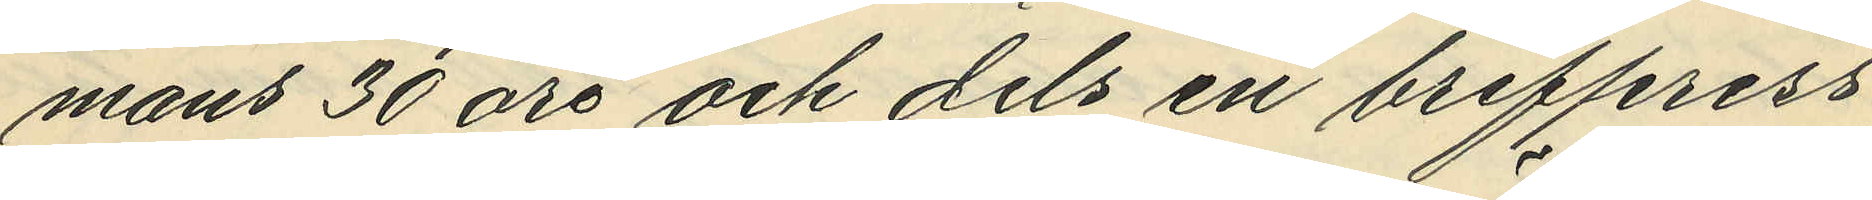mans 30 öre och dels en brefpress
